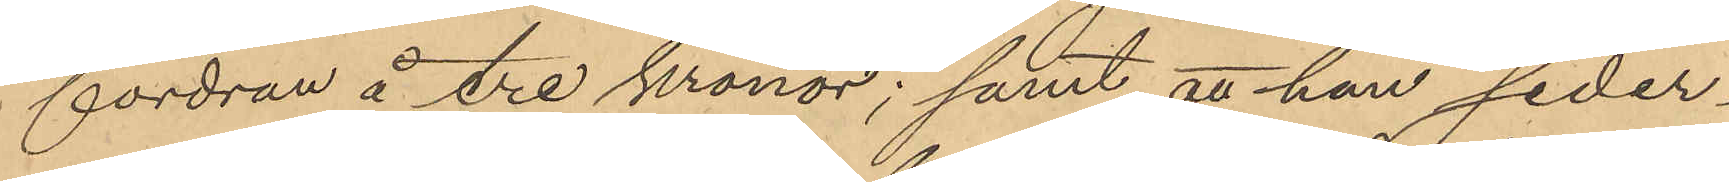fordran å tre kronor; samt att han seder¬
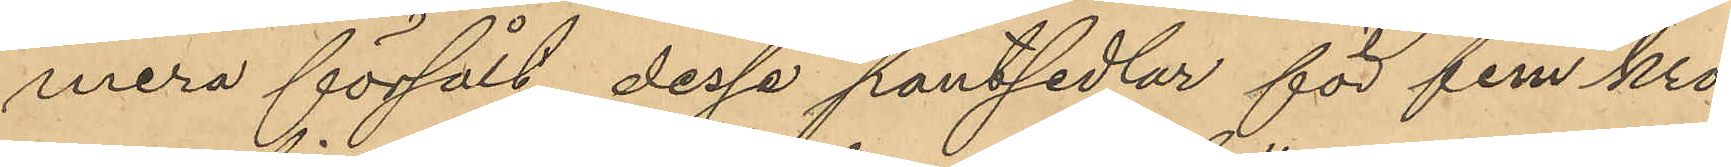mera försålt dessa pantsedlar för fem kro¬
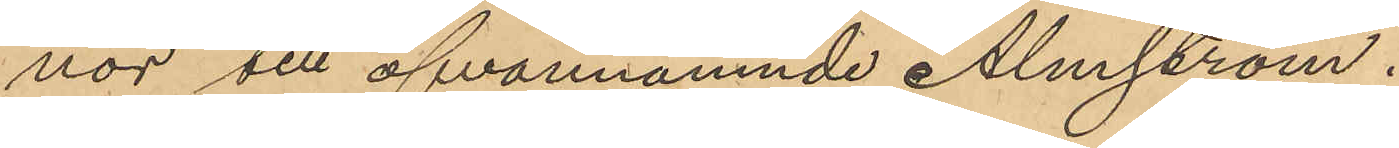nor till ofvannämnde Almström.
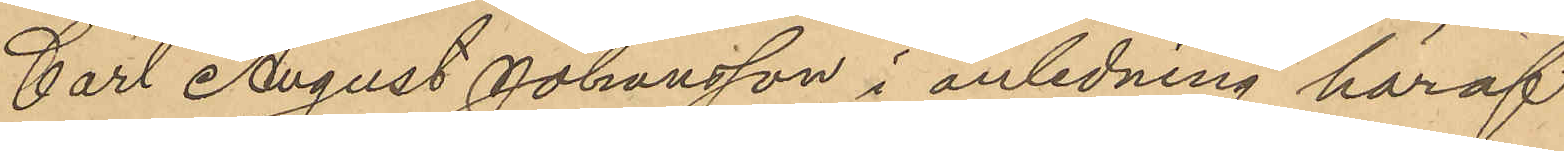Carl August Johansson i anledning häraf
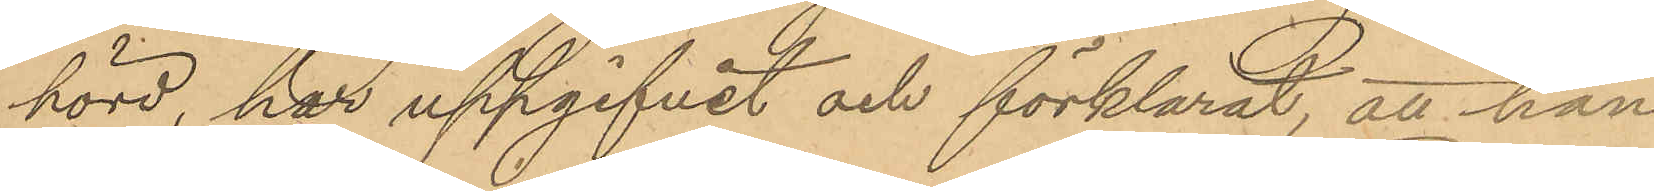hörd, har uppgifvit och förklarat, att han
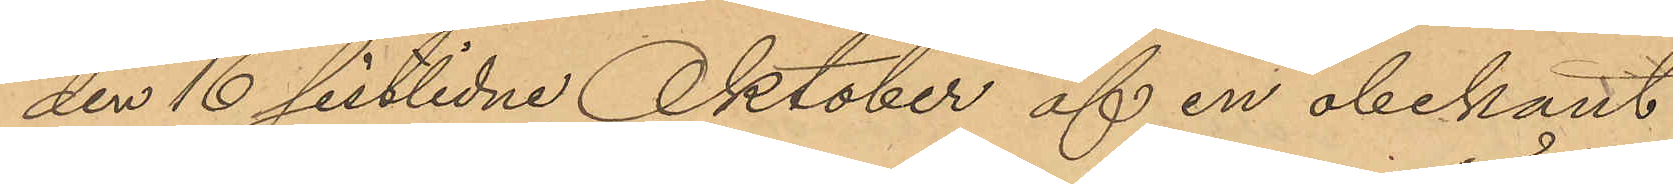den 16 sistlidne Oktober af en obekant
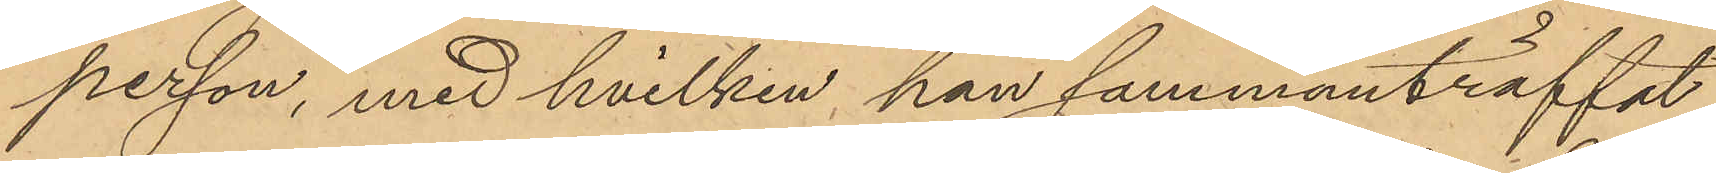person, med hvilken han sammanträffat
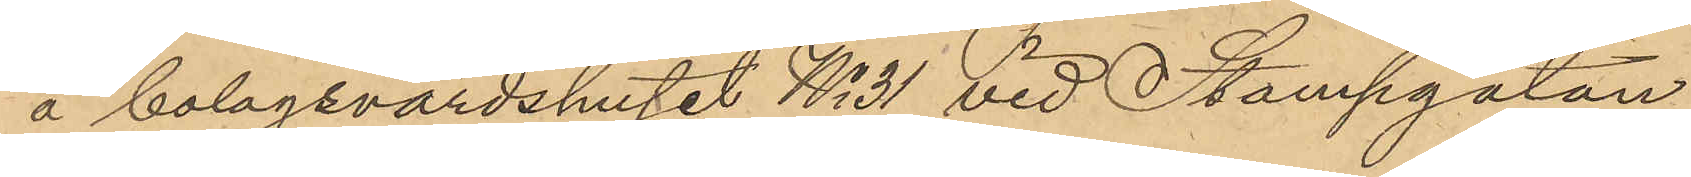å bolagsvärdshuset No 31 vid Stampgatan
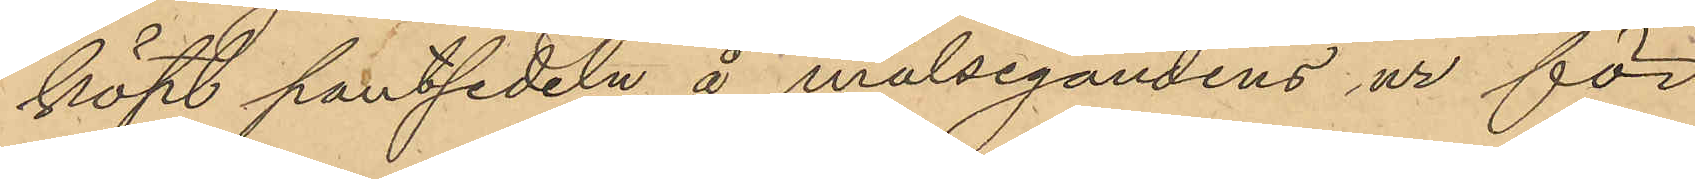köpt pantsedeln å målsegandens ur för
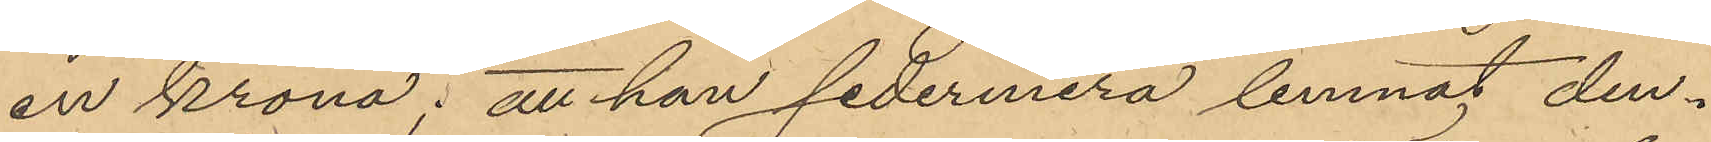en krona: att han sedermera lemnat den¬
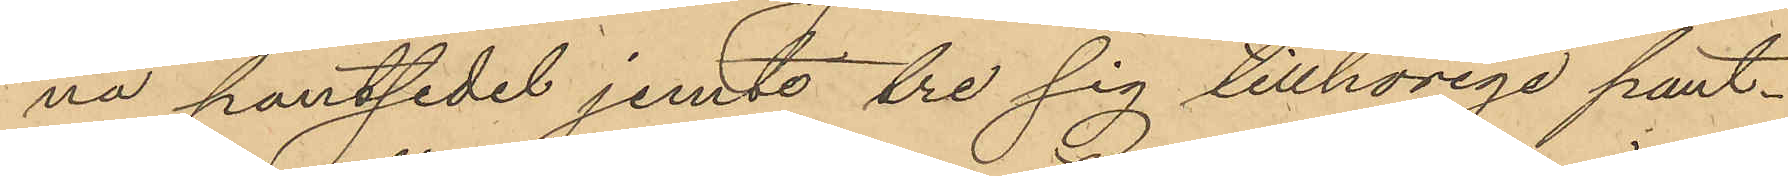na pantsedel jemte tre sig tillhörige pant¬
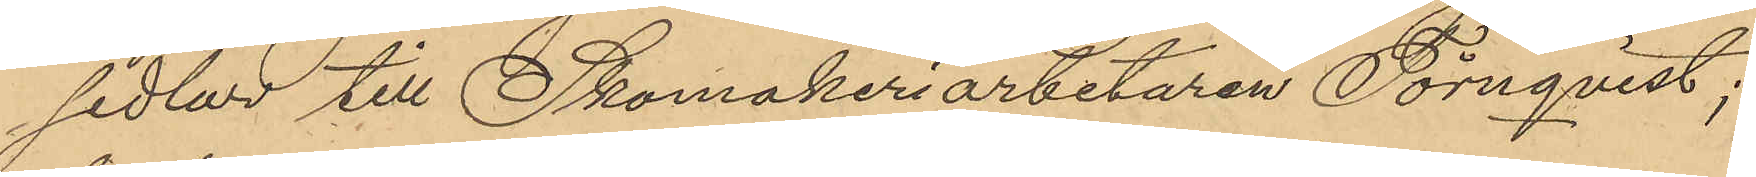sedlar till Skomakeriarbetaren Törnqvist;
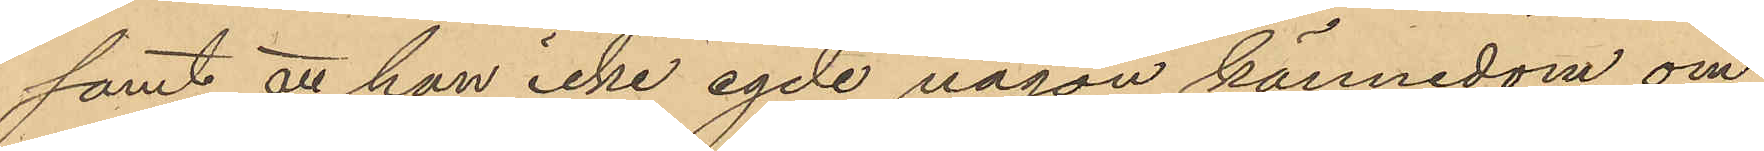samt att han icke egde någon kännedom om
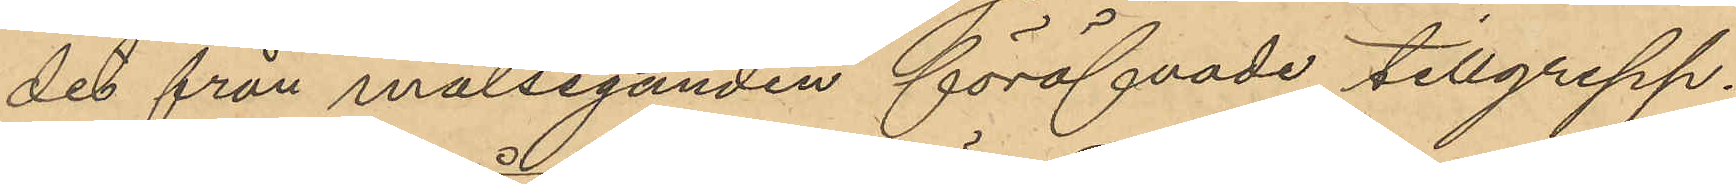det från målseganden föröfvade tillgrepp.
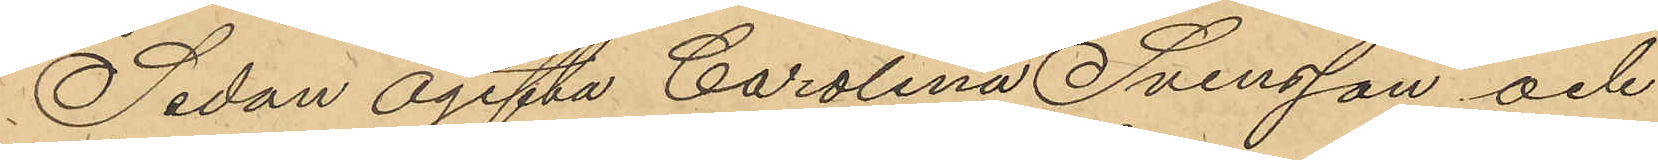Sedan ogifta Carolina Svensson och
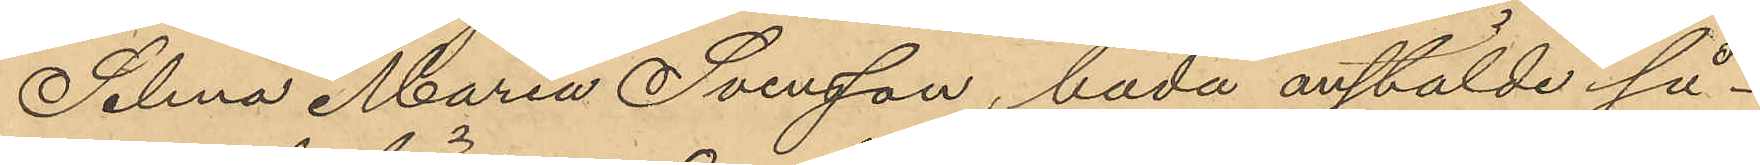Selma Maria Svensson, båda anstälde så¬
